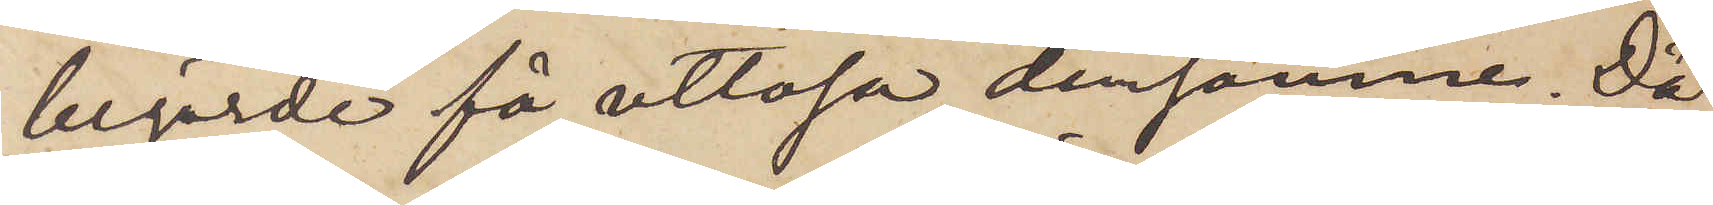begärde få utlösa densamme. Då
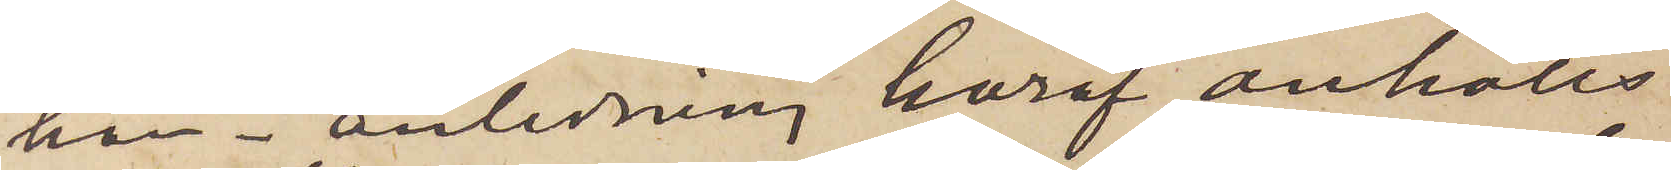han i anledning häraf anhölls
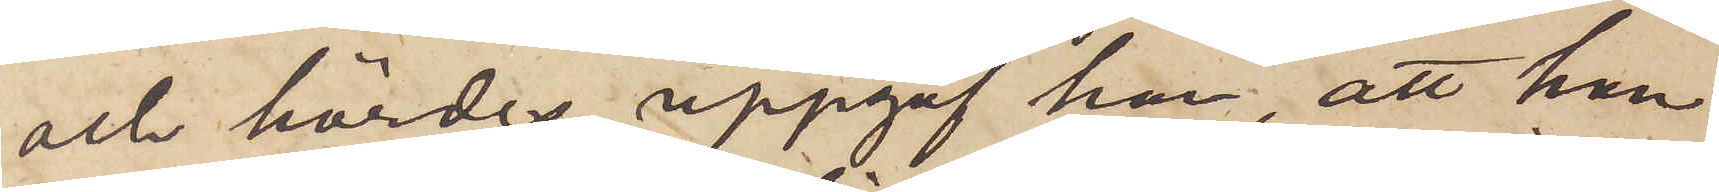och hördes, uppgaf han, att han
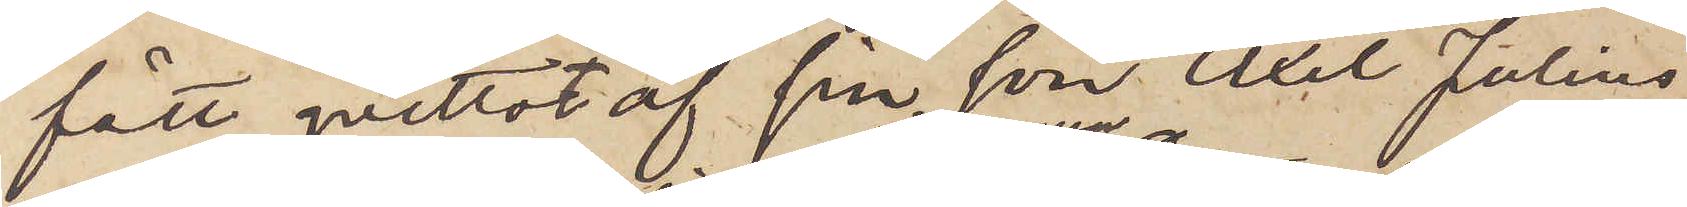fått qvittot af sin son Axel Julius
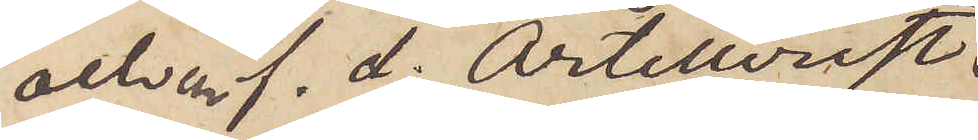och en f. d. Artillerist
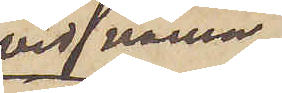vid namn
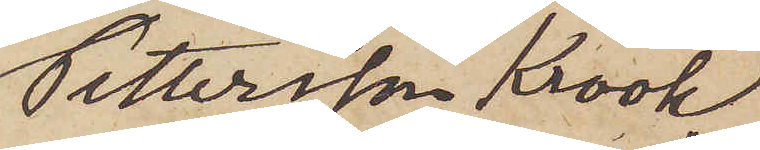Pettersson Krok,
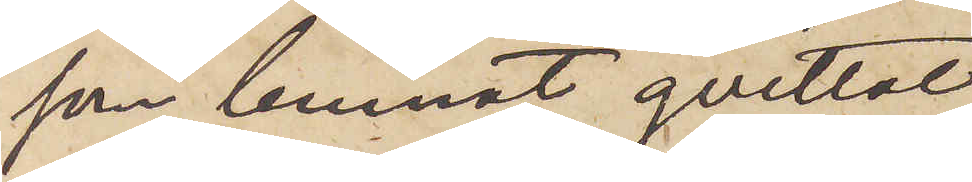som lemnat qvittot
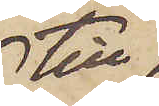till
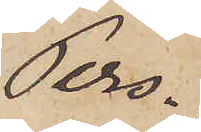Pers¬
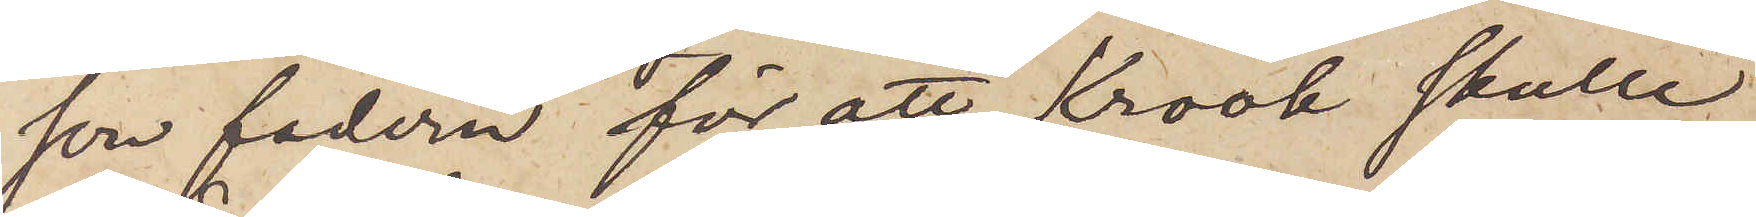son fadern för att Krook skulle
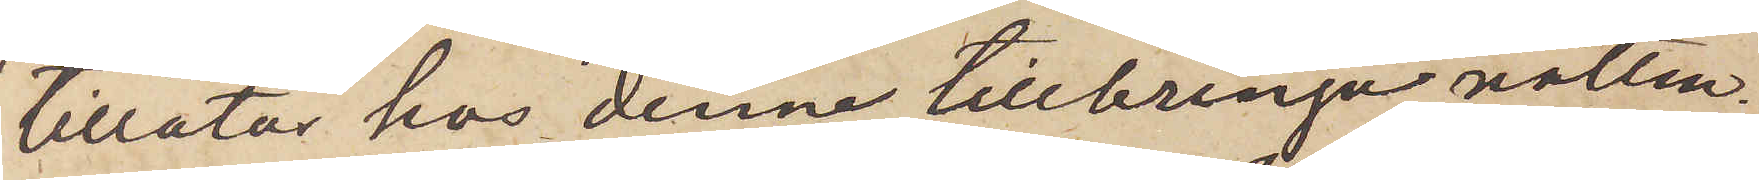tillåtas hos denne tillbringa natten,
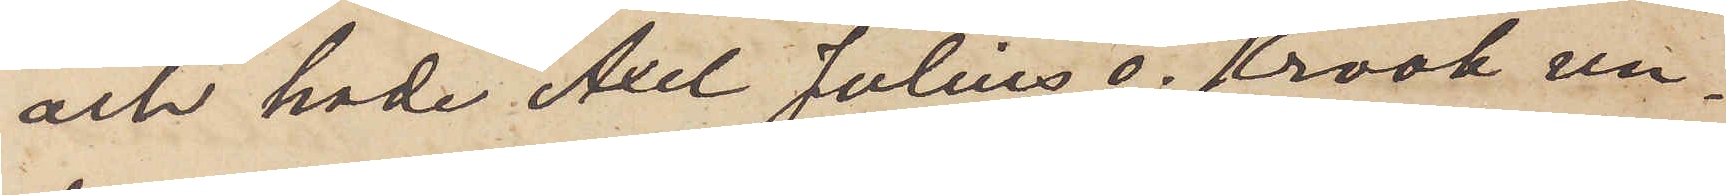och hade Axel Julius o. Krook un¬
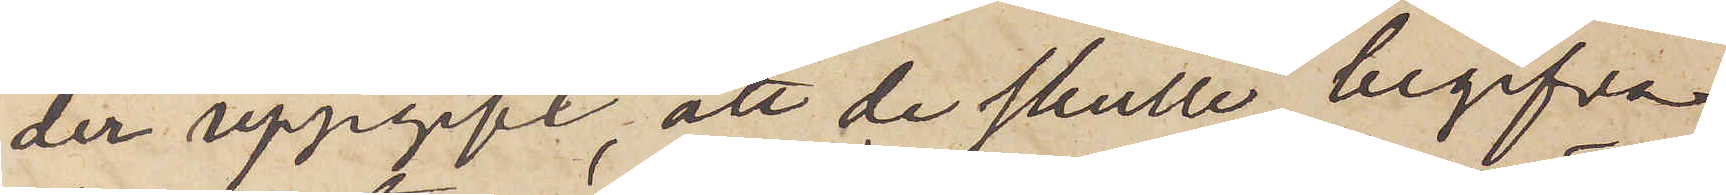der uppgift, att de skulle begifva
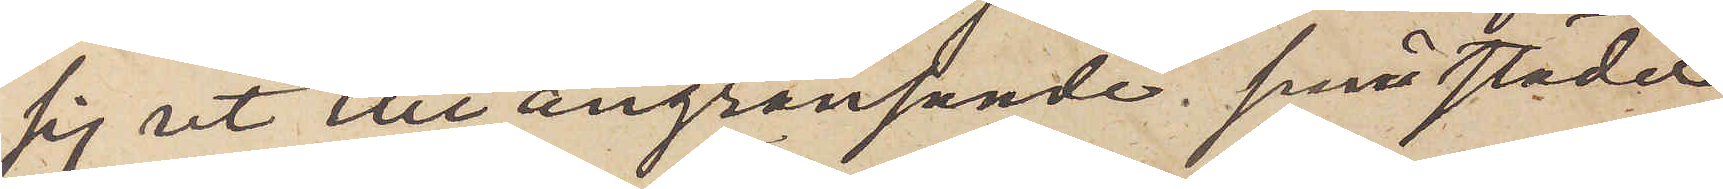sig ut till angränsande små städer,
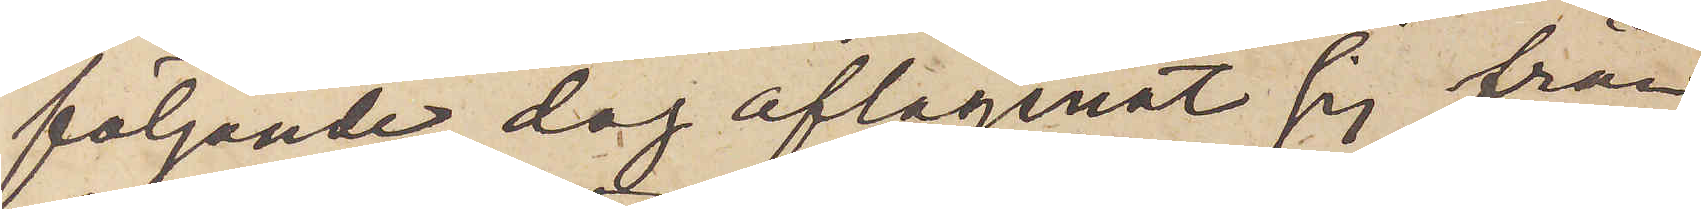följande dag aflägsnat sig från
